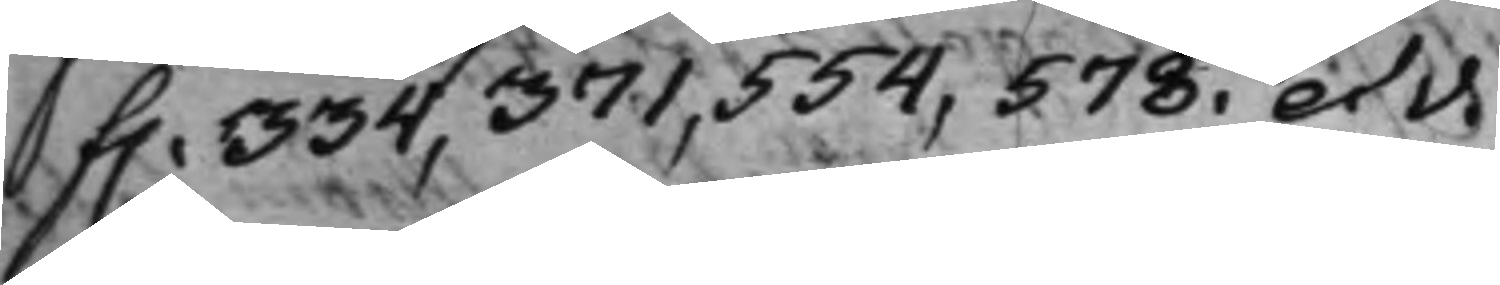f. 334, 371, 554, 578. et v.
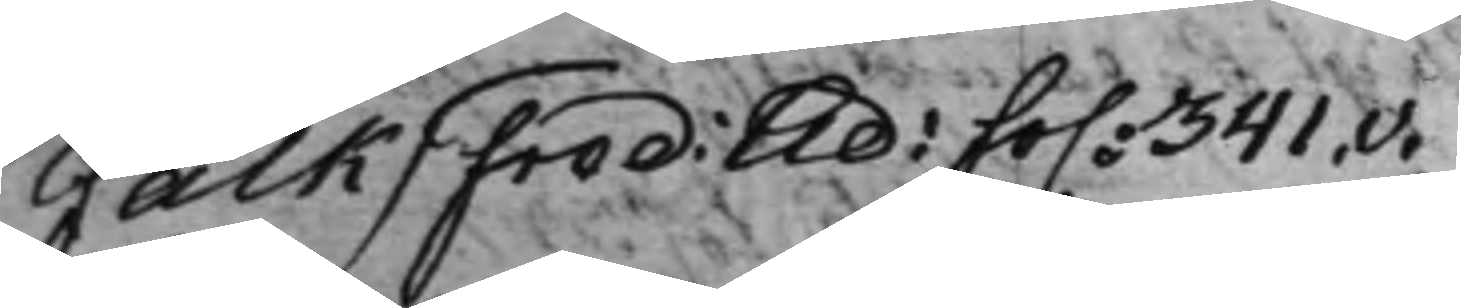Falk / Fred: Ad: fo. 341.v.
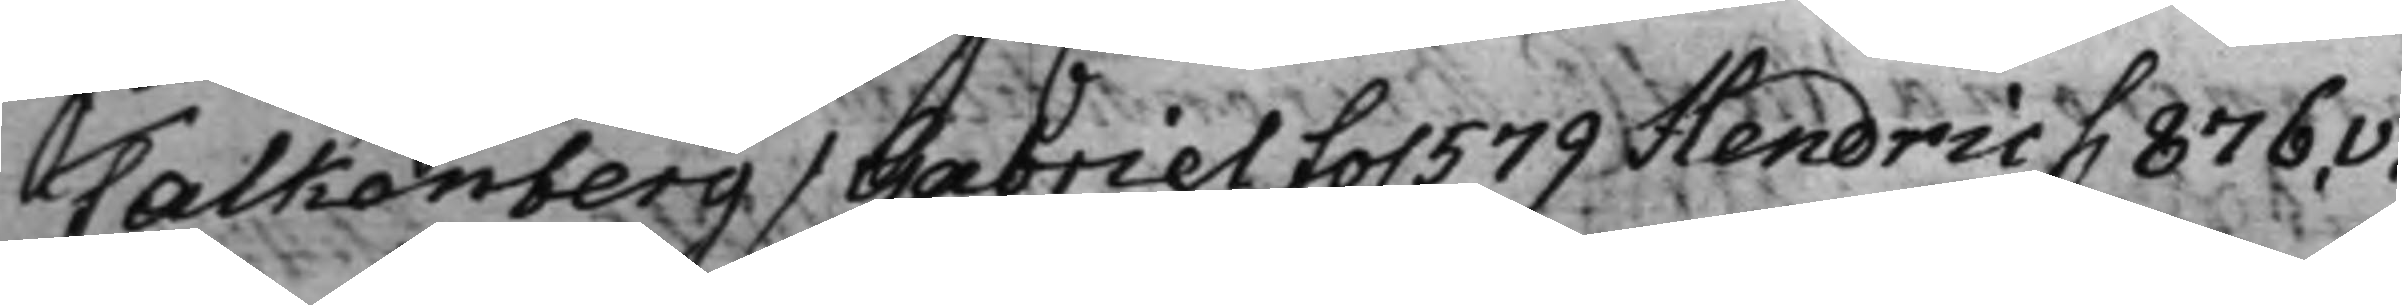Falkenberg / Gabriel fo. 579 Hendric f. 876.v.
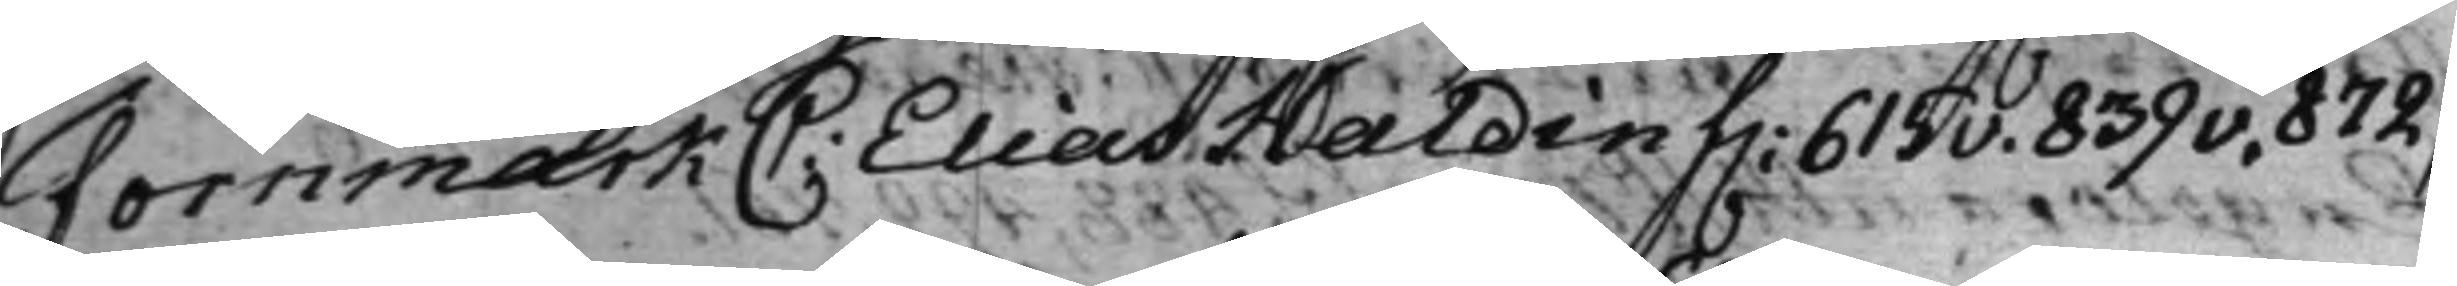Fornmark C: Elias Haldin f. 615v. 839v, 872,
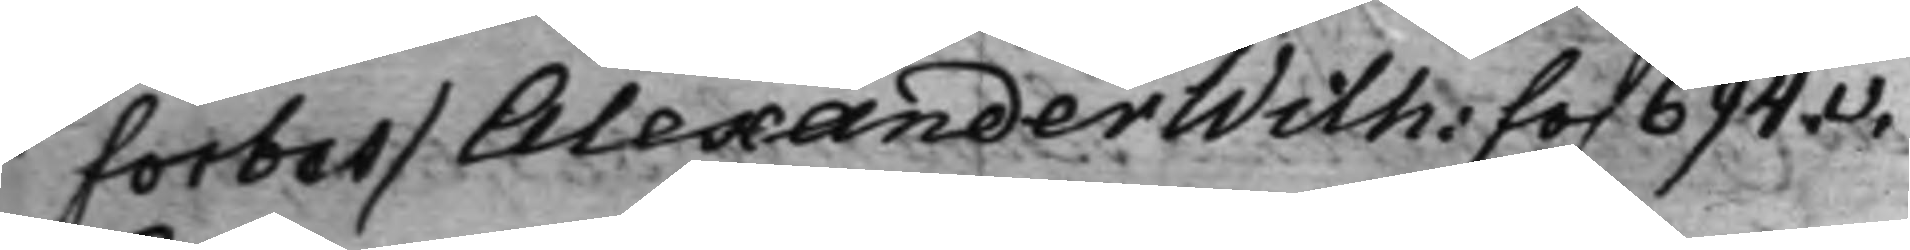Forbes / Alexander Wilh: fo. 694.v.
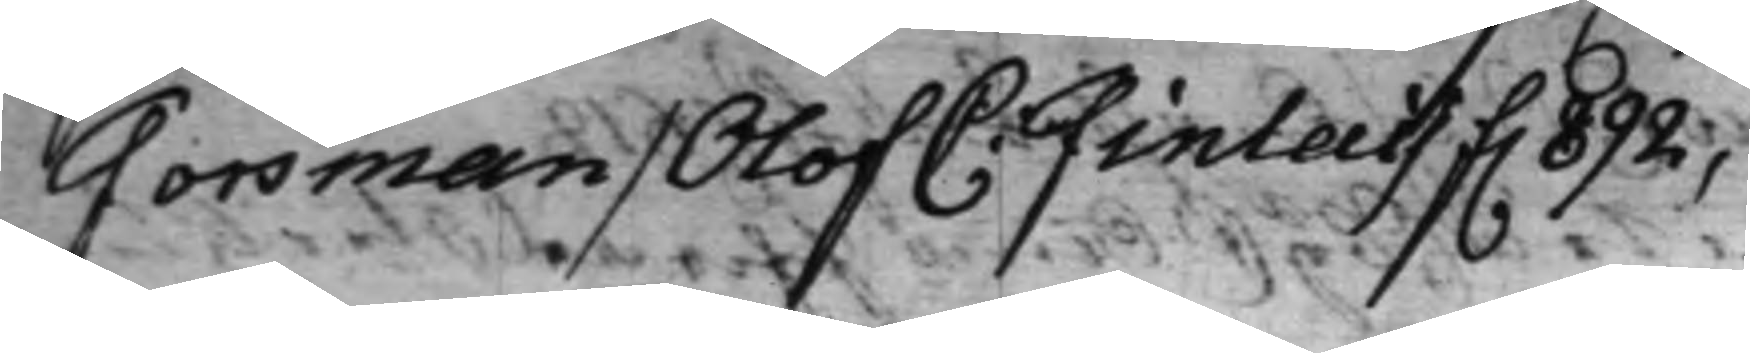Forsman / Olof C: Finlay f. 892,
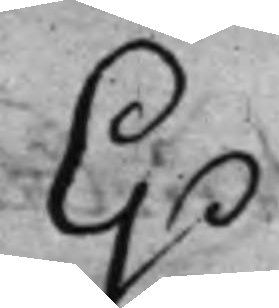G.
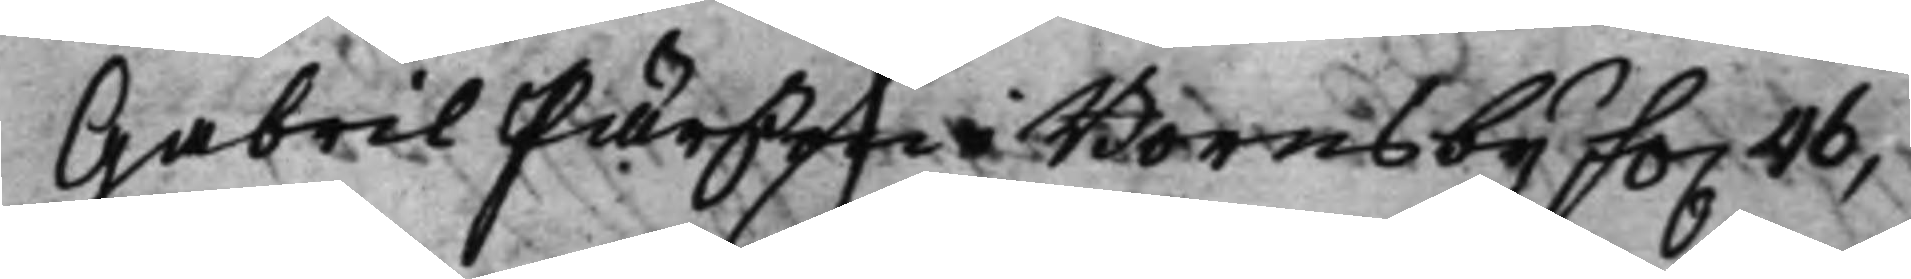Gabril Pärßon i Borns by fo. 46,
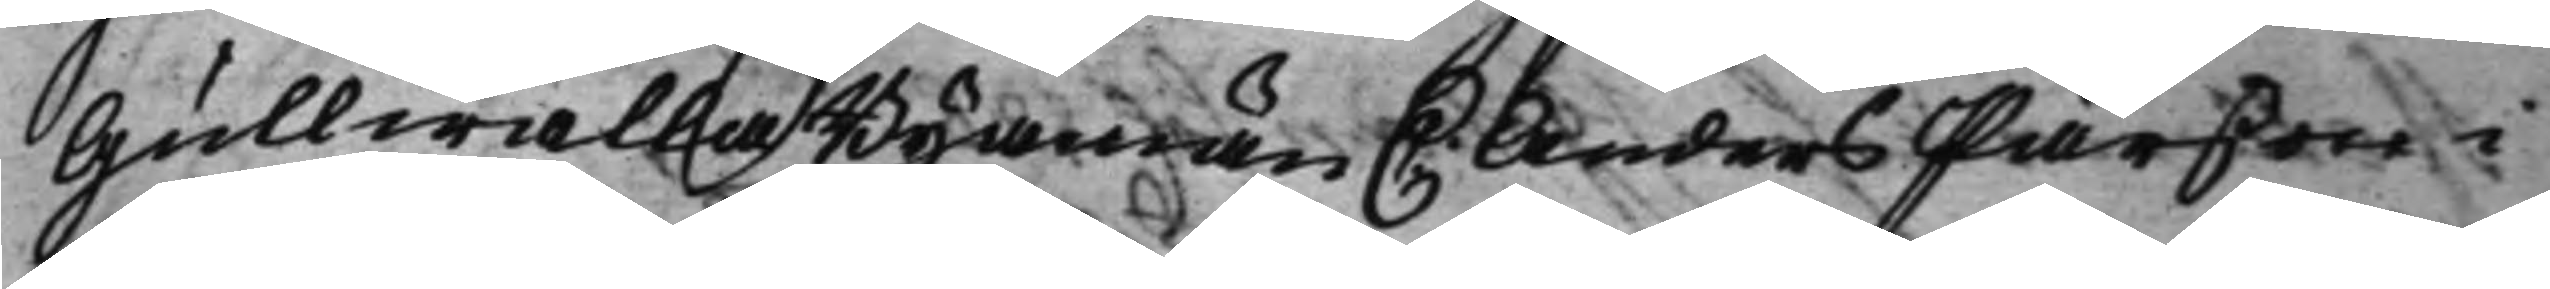Gullwalla Byamän C: Anders Pärsson i
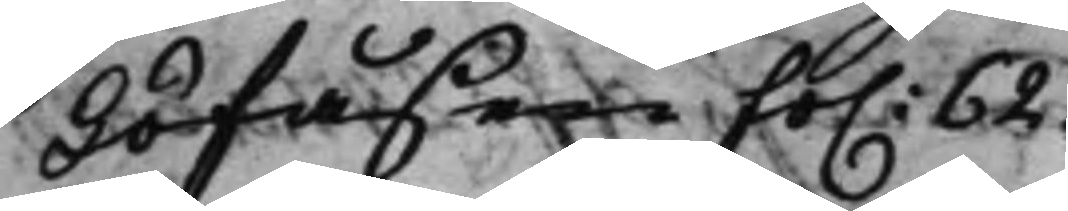Löfåsen fo. 62.
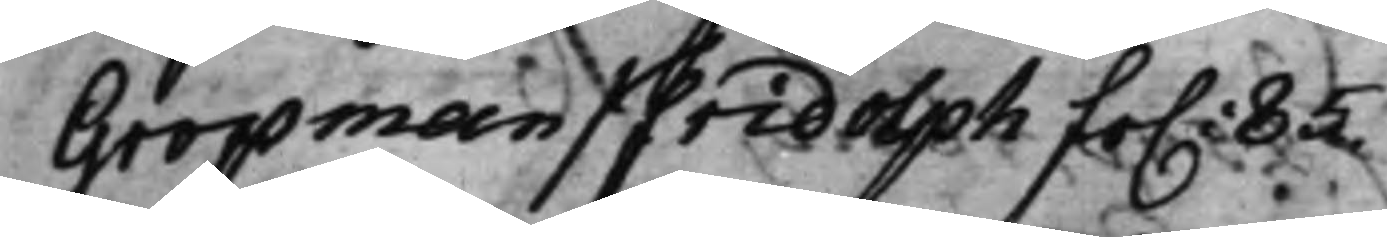Gropman / Fridolph fo. 85.
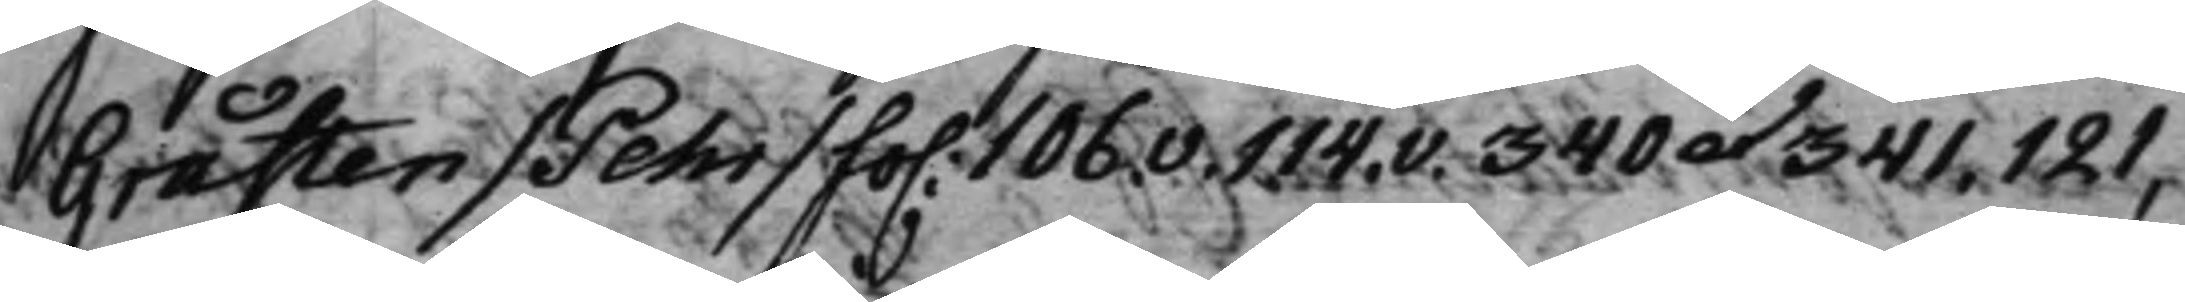Gråsten / Pehr / fo. 106.v. 114.v. 340 et. 341, 121,
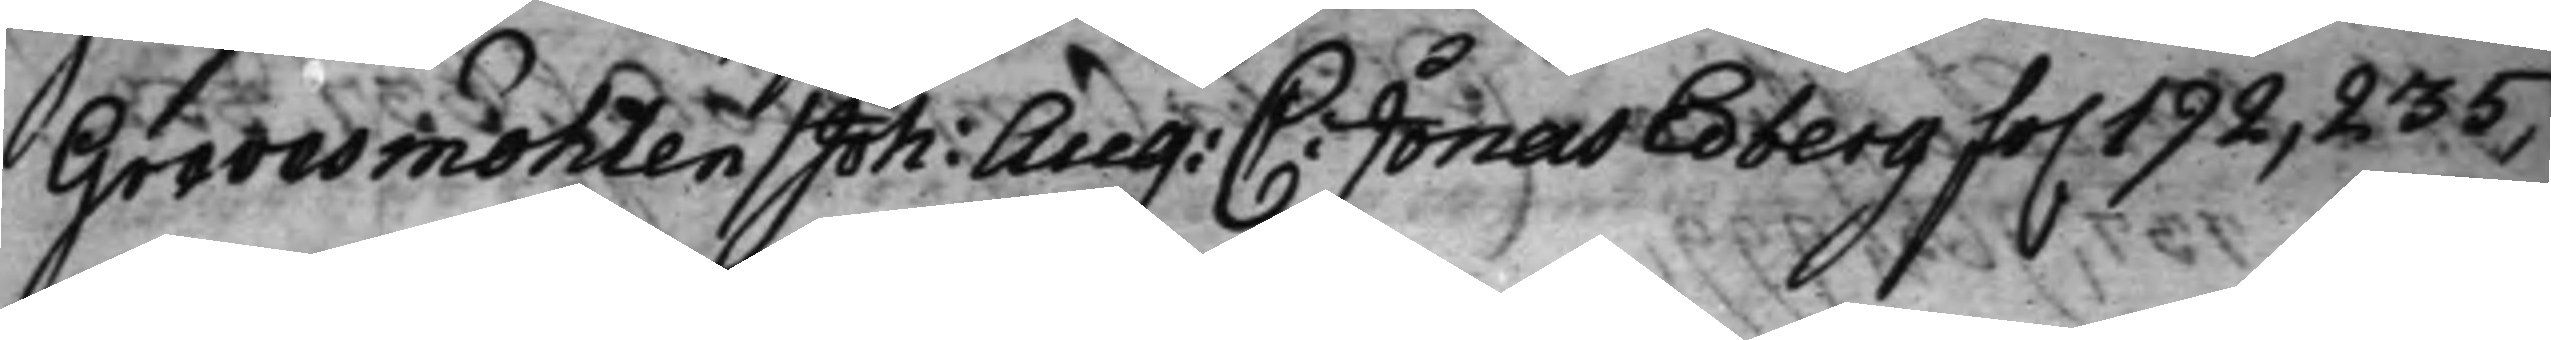Grevesmöhlen / Joh: Aug: C: Jonas Edberg fo. 192, 235,
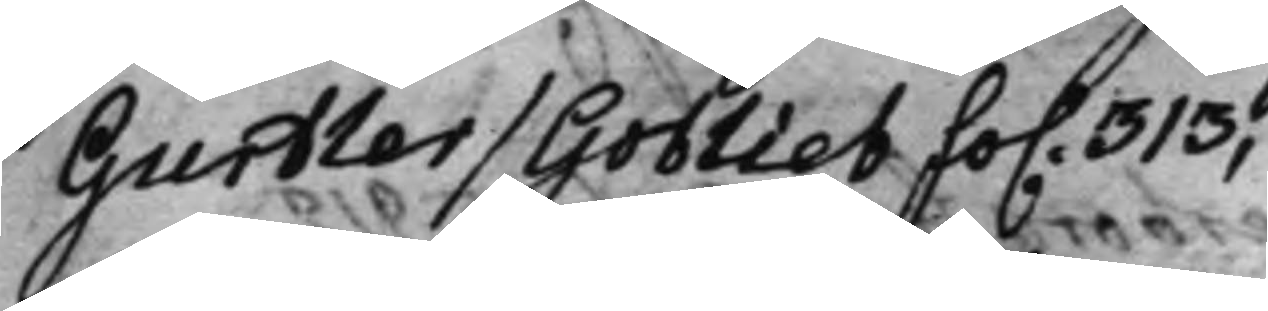Gurtler / Gotlieb fo. 313,
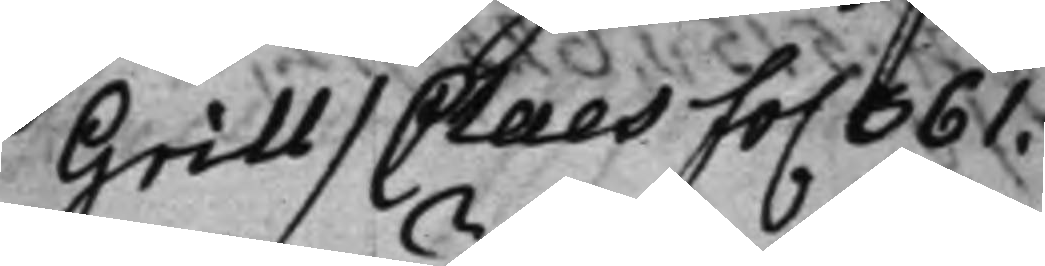Grill / Claes. fo. 361.
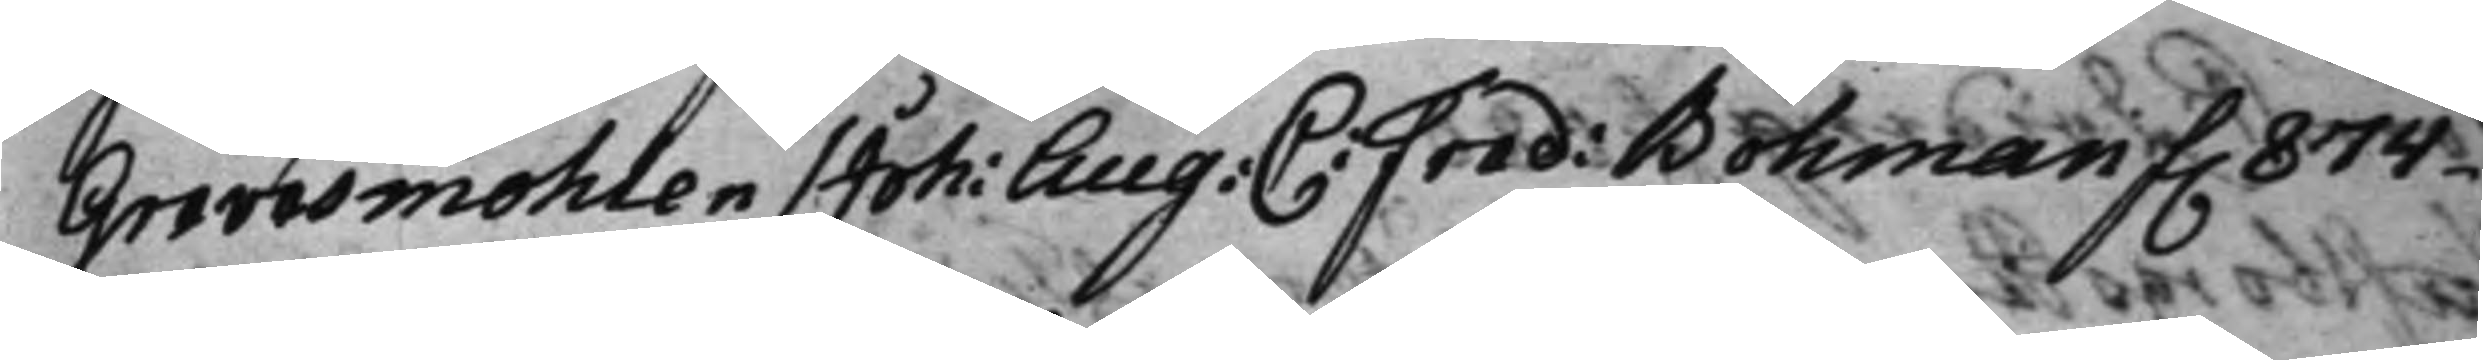Grevesmöhlen / Joh: Aug: C: Fred: Bohman f. 874.
